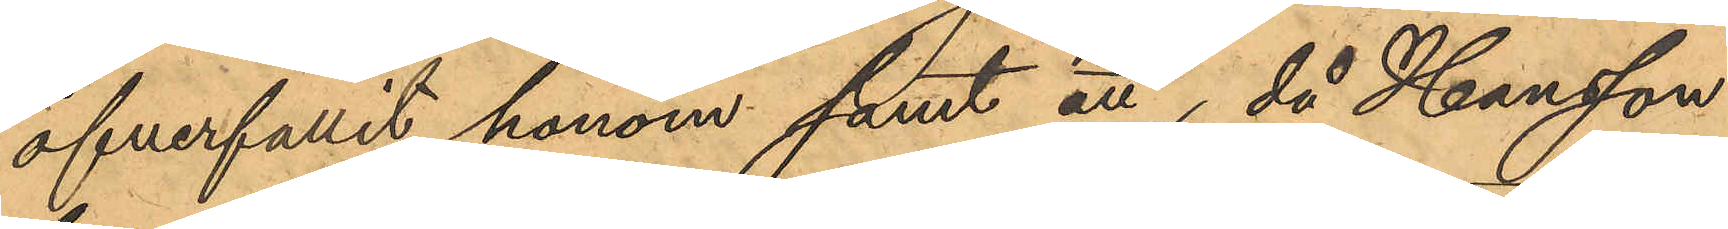öfverfallit honom samt att, då Hansson
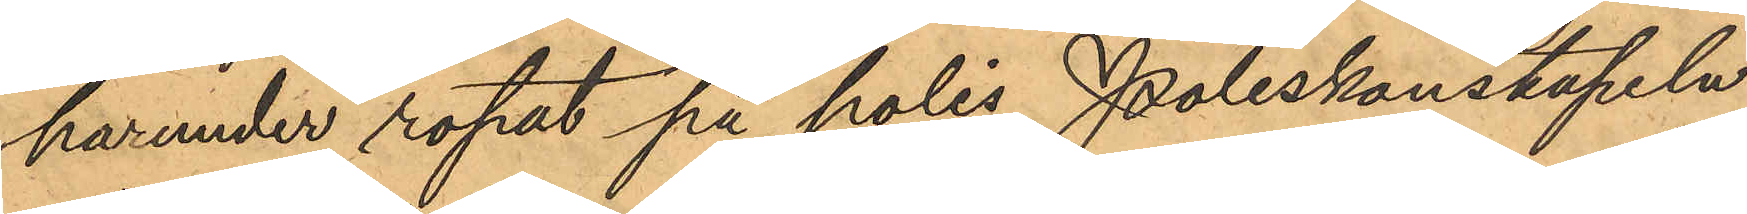harunder ropat på polis, Poliskonstapeln
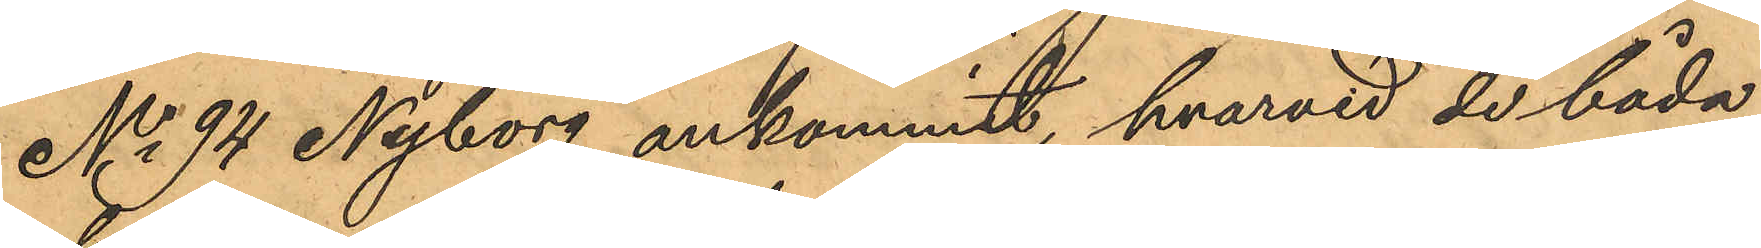No 94 Nyborg ankommit, hvarvid de båda
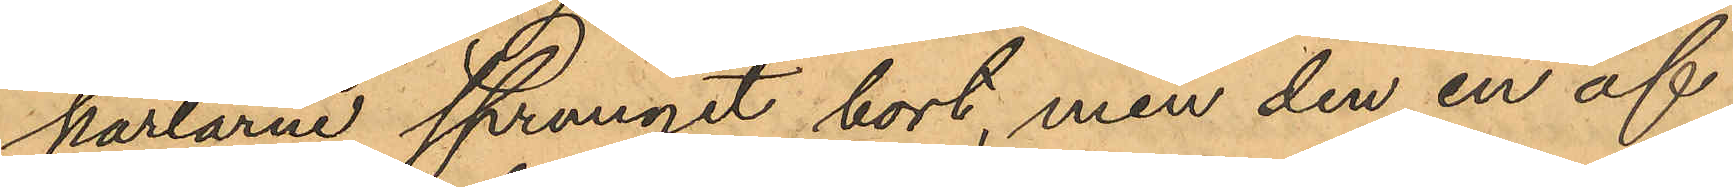karlarne sprungit bort, men den en af
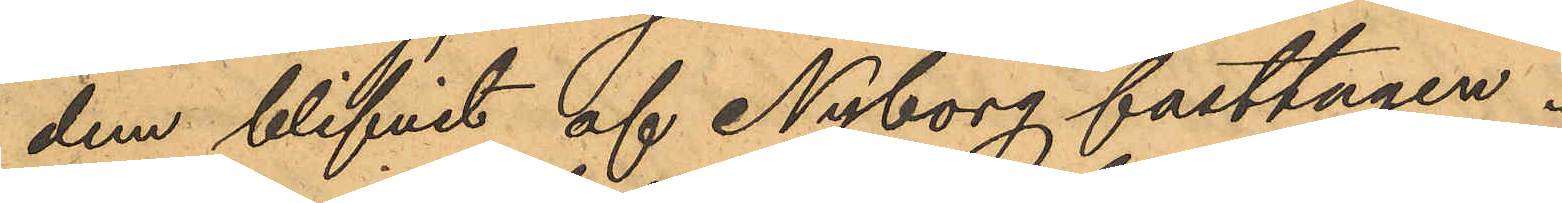dem blifvit af Nyborg fasttagen.
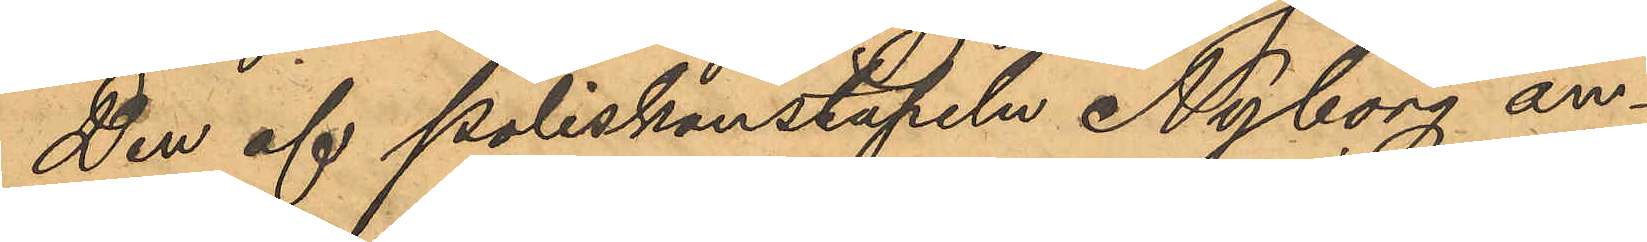Den af Poliskonstapeln Nyborg an¬
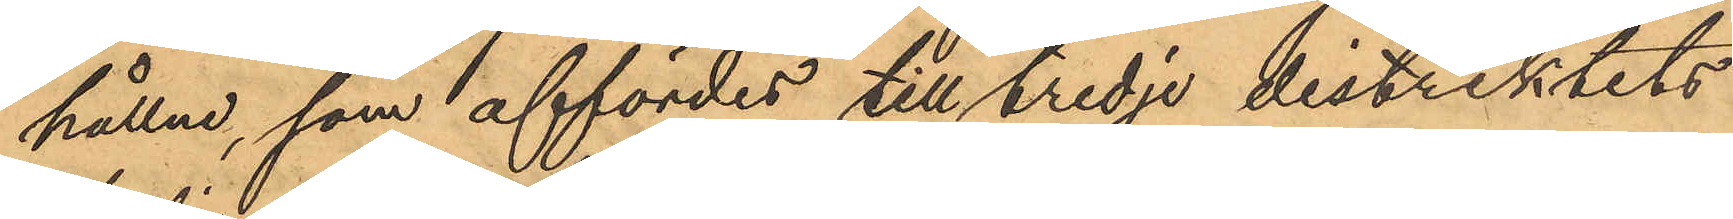hållne, som affördes till tredje distriktets
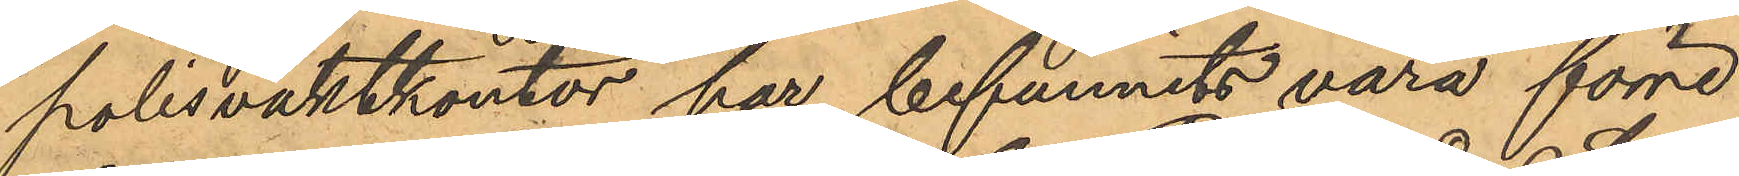polisvaktkontor har befunnits vara förre
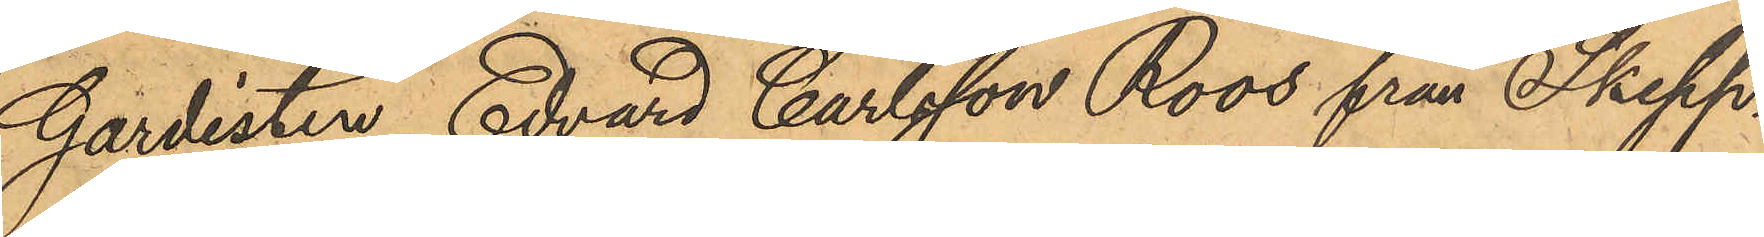Gardisten Edvard Carlsson Roos från Skepp¬
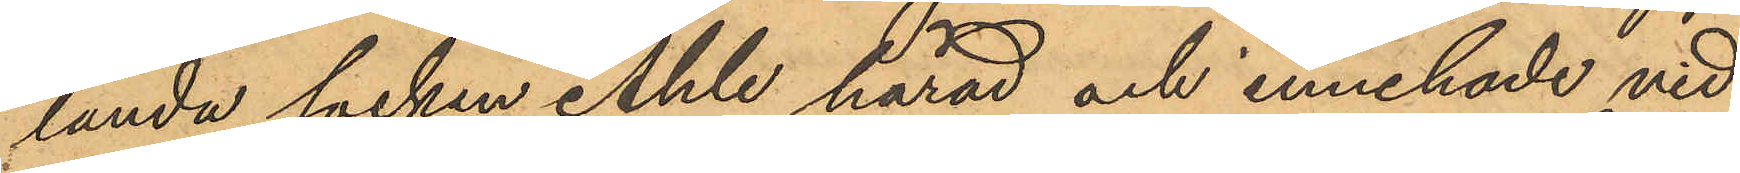landa socken Ahle härad och innehade vid
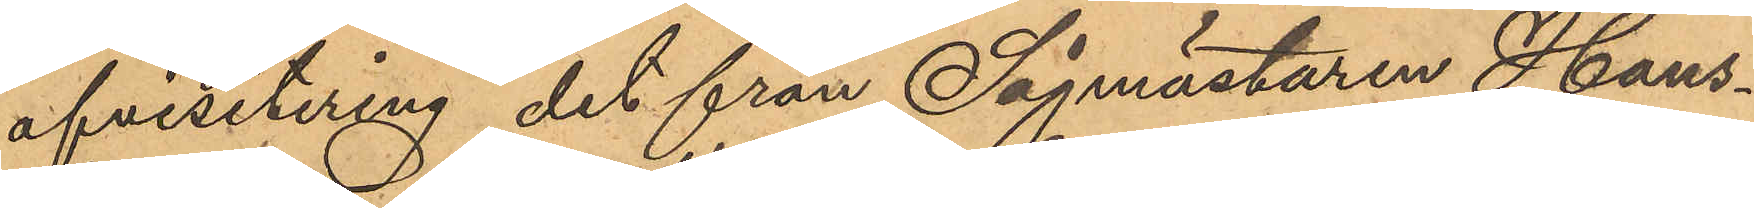afvisitering det från Sågmästaren Hans¬
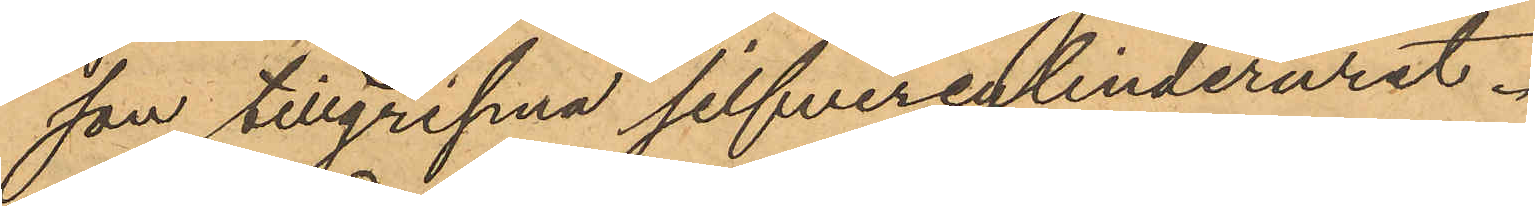son tillgripna silfvercylinderuret.
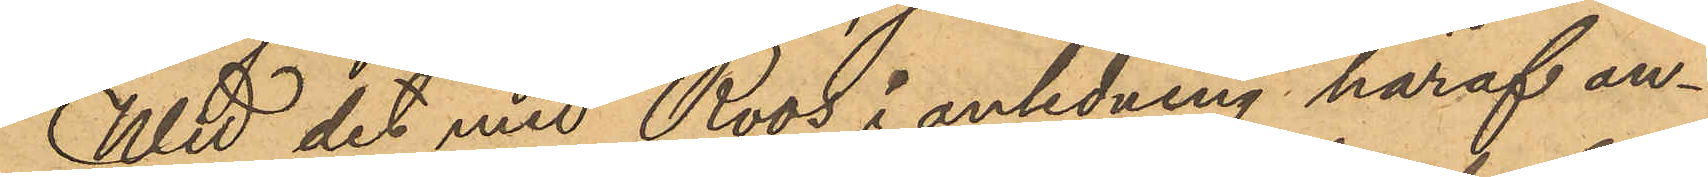Wid det med Roos i anledning häraf an¬
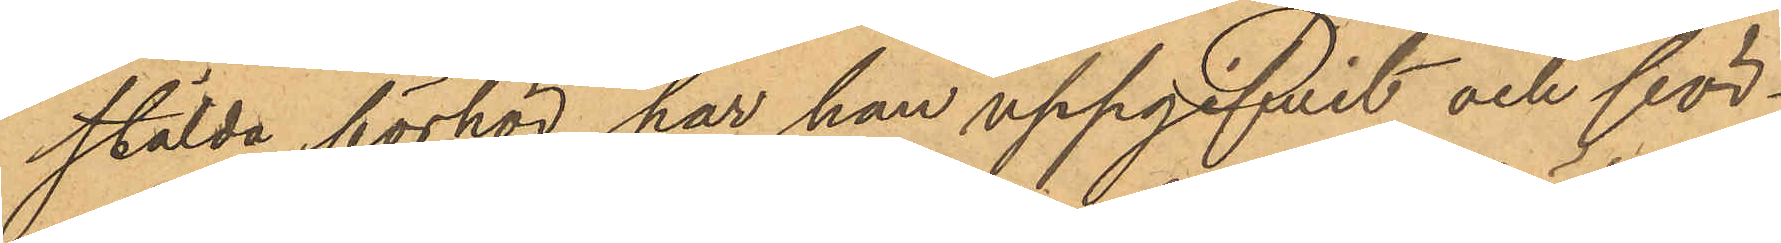stälda förhör har han uppgifvit och för¬
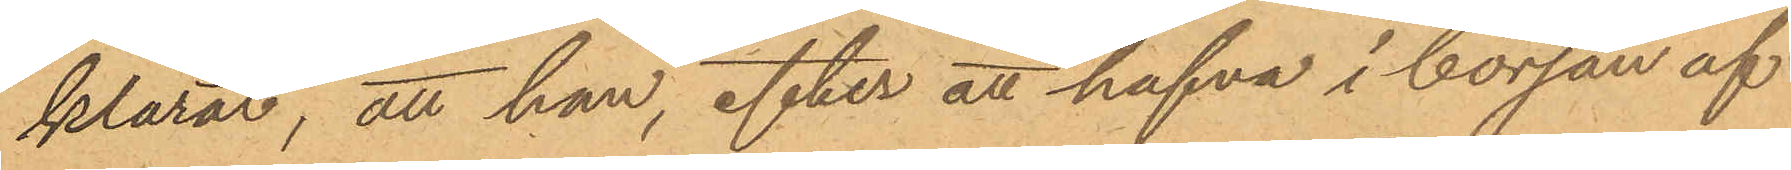klarar; att han, efter att hafva i början af
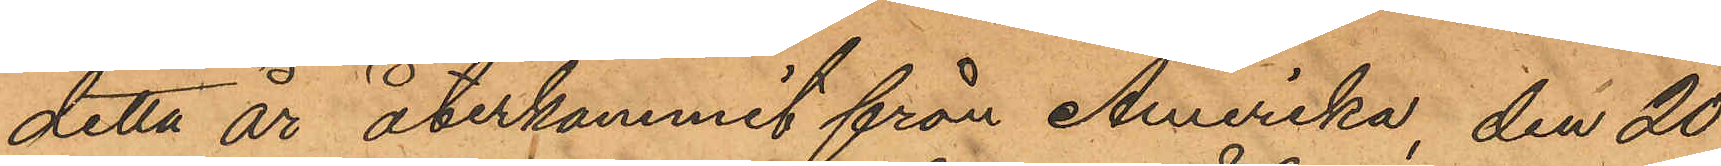detta år återkommit från Amerika, den 20
